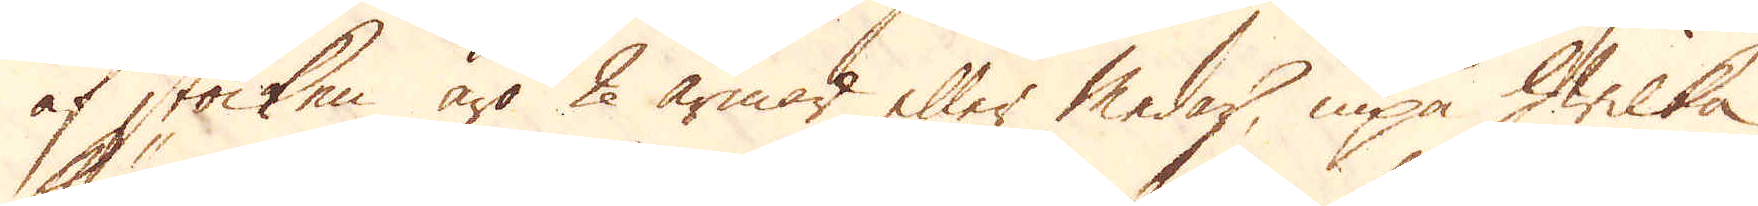af stocken äro 2 armar eller medar, inpå hwilka
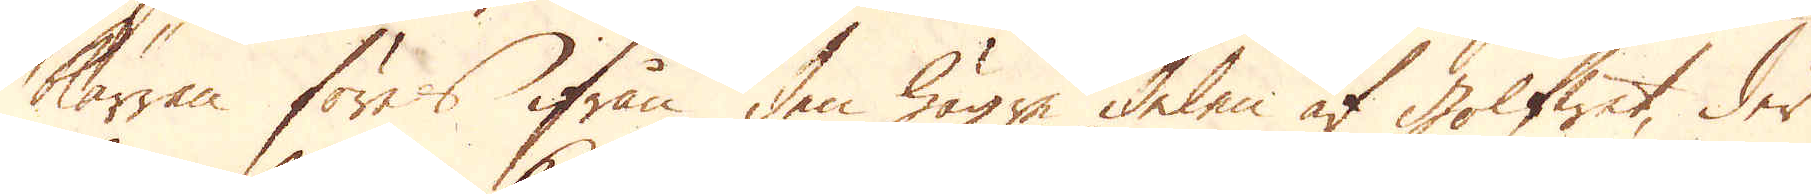kärran föres ifrån den högre delen af golfwet, der
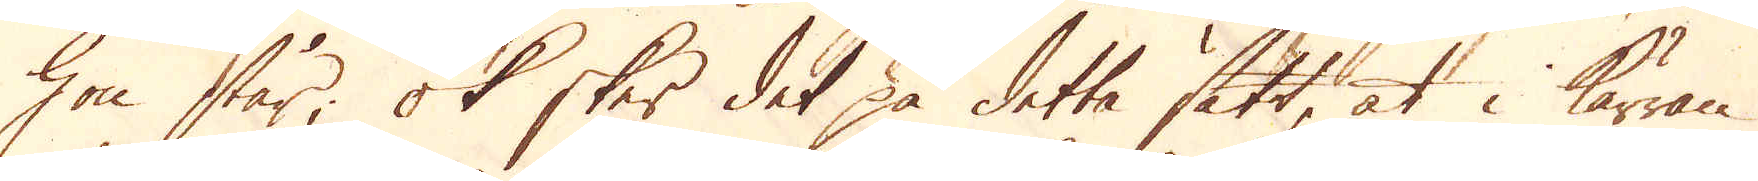hon står; ok sker det på detta sätt, at i kärran
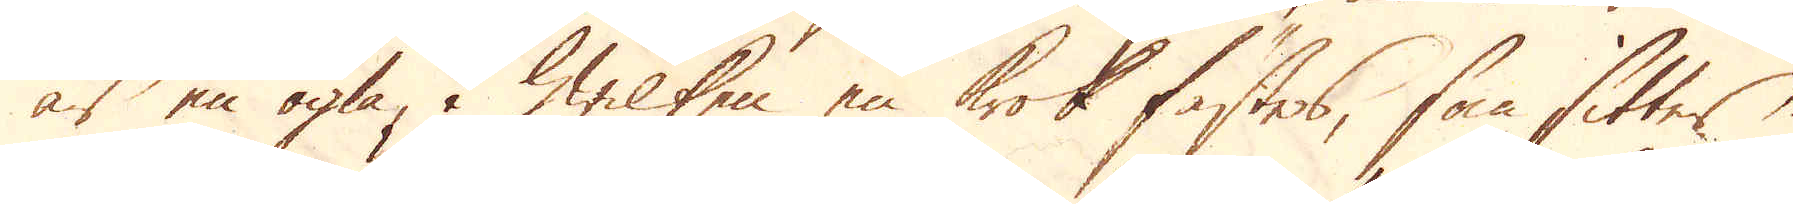är en ögla, i hwilken en krok fästes, som sitter
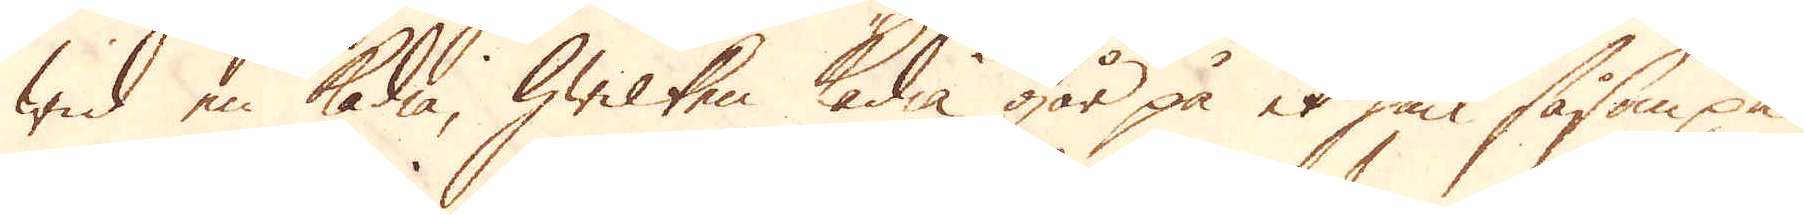wid en kädia, hwilken kädia går på et hiul såsom på
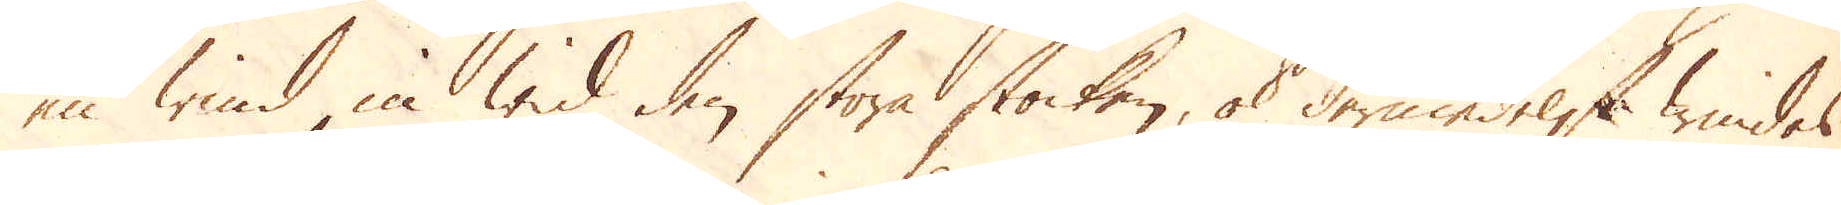en wind in wid den stora stocken, ok dermedelst windes
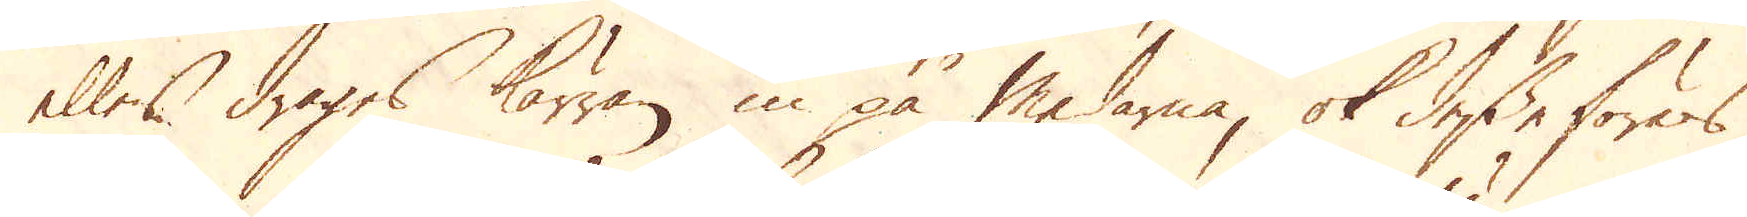eller drages kärran in på medarna, ok desse föres
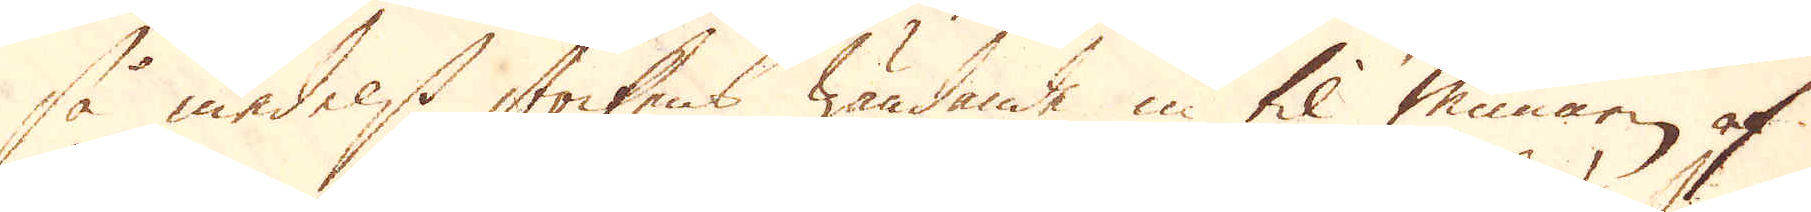så medelst stockens wändande in til munnen af
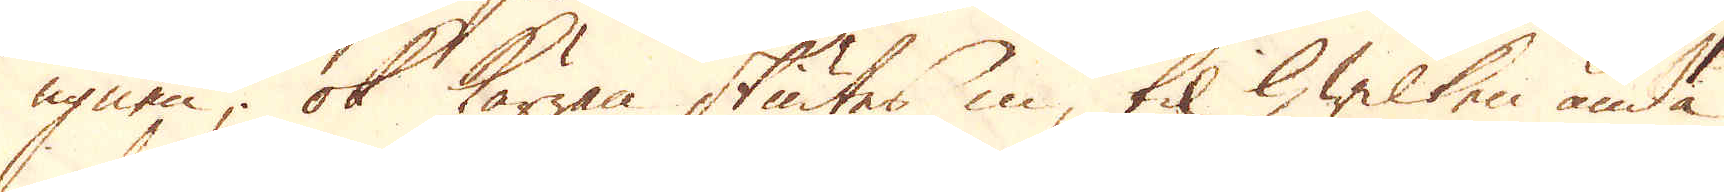ugnen; ok kärran skiutes in, til hwilken ända
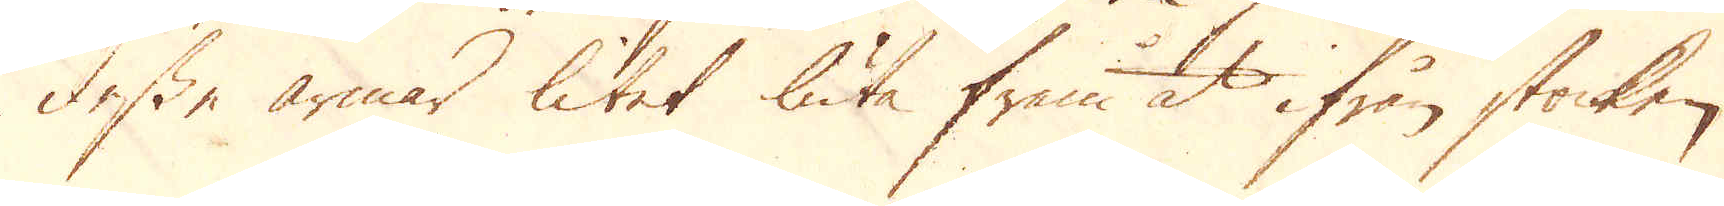desse armar litet luta fram åt ifrån stocken
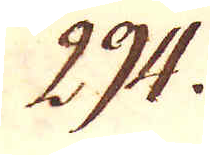294.
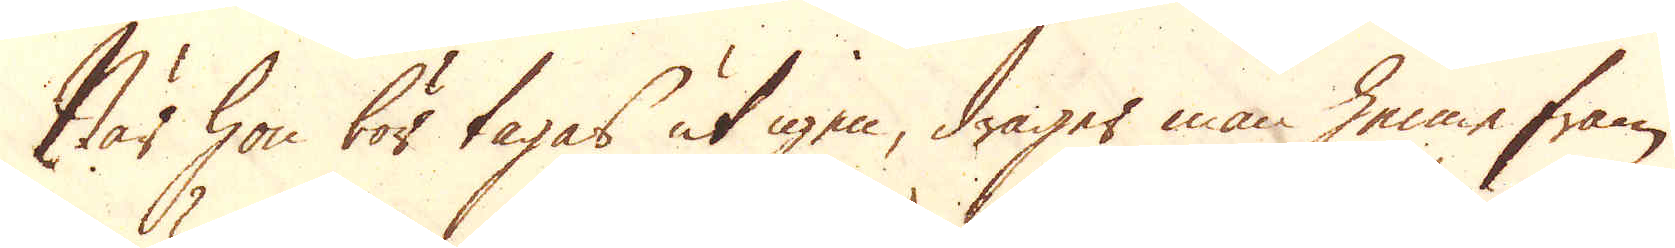När hon bör tagas ut igen, drager man henne fram
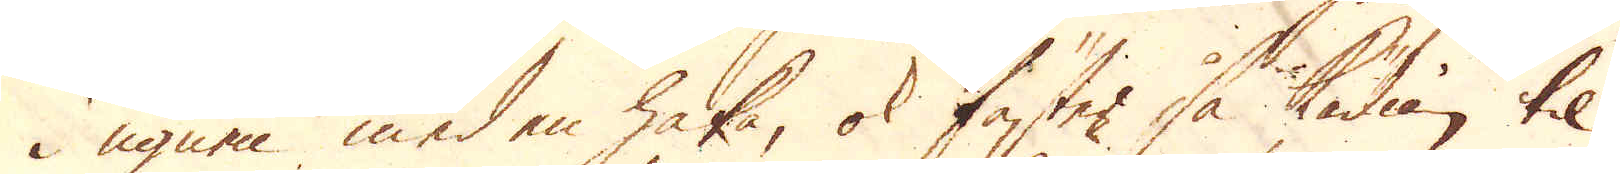i ugnen med en haka, ok fäster så kädian til
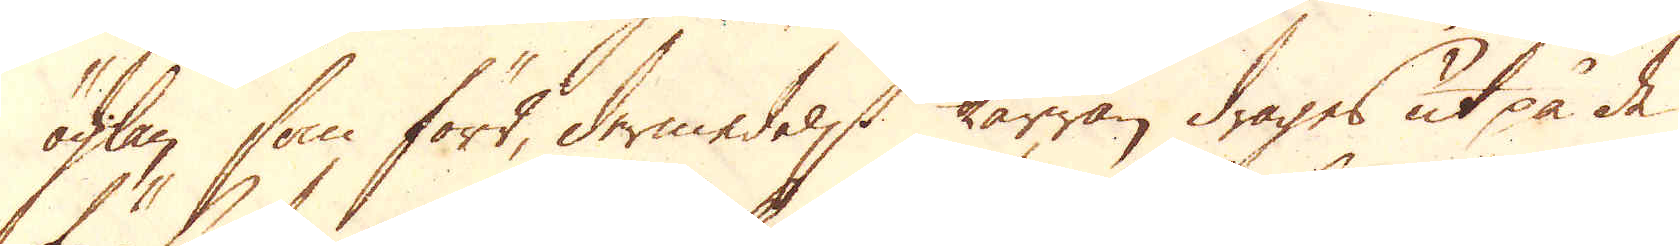öglan, som förr, dermedelst kärran drages ut på de
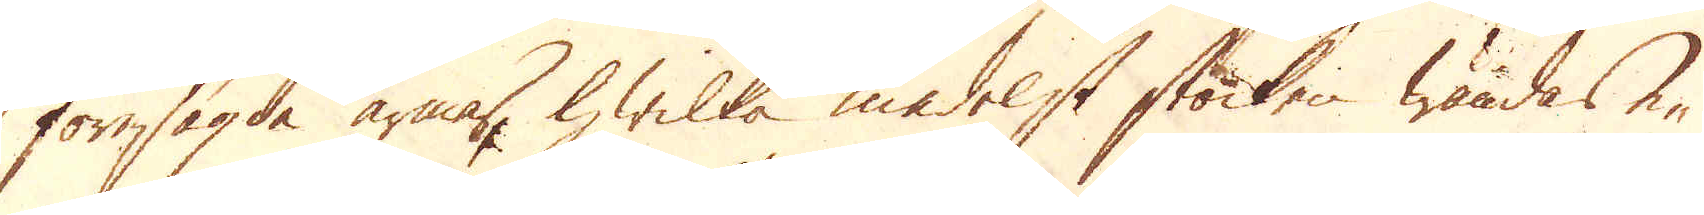föresagda armar, hwilka medelst stocken wändas e-
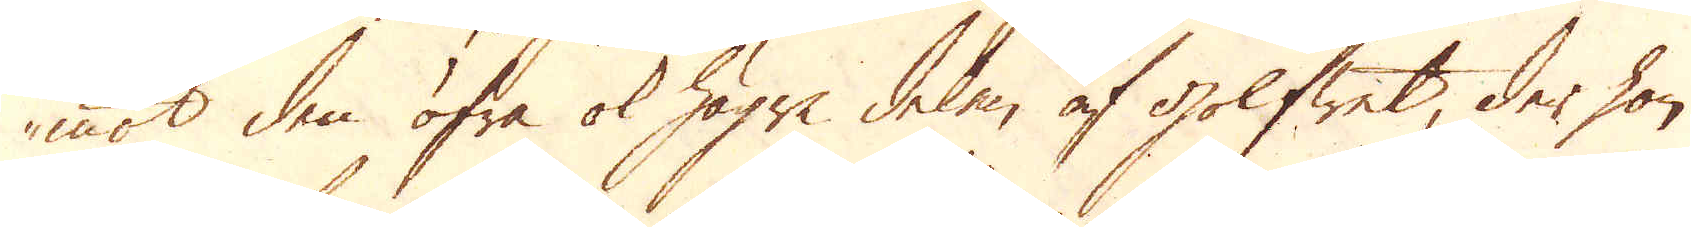mot den öfra ok högre delen af golfwet, der hon
